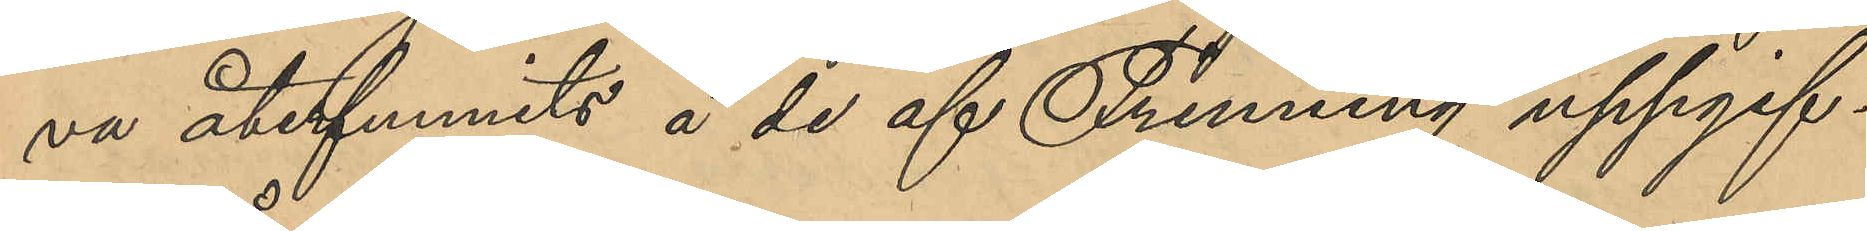va återfunnits å de af Frenning uppgif¬
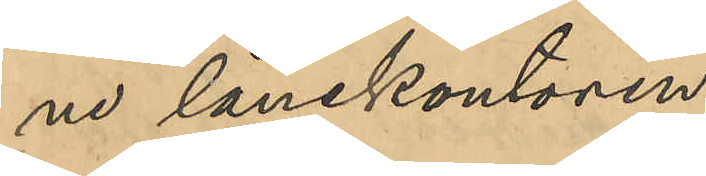ne lånekontoren.
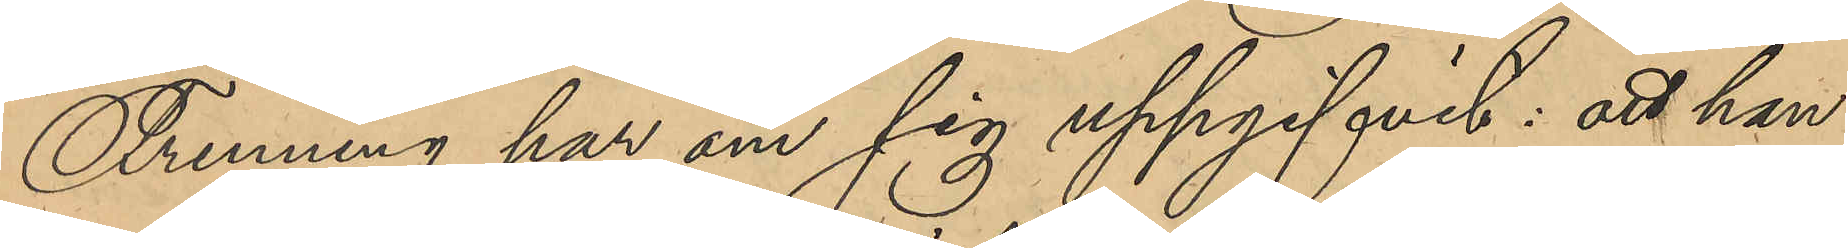Frenning har om sig uppgifvit att han
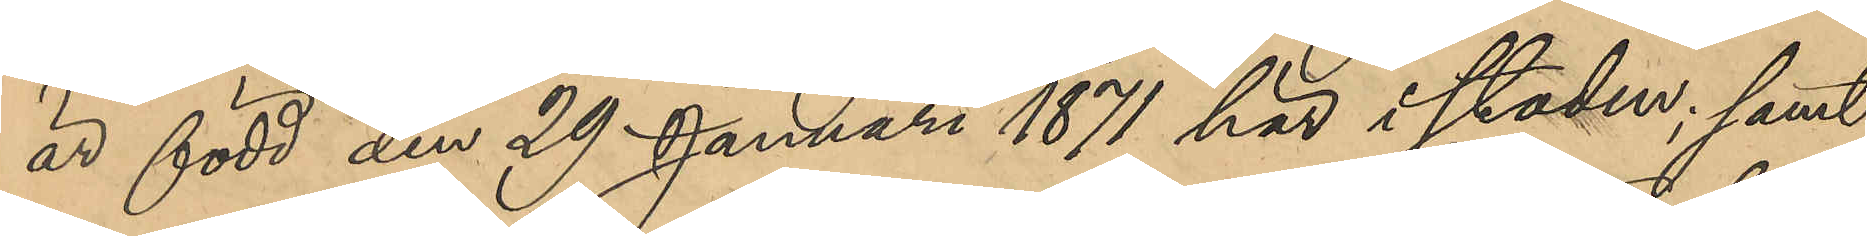är född den 29 Januari 1871 här i staden; samt
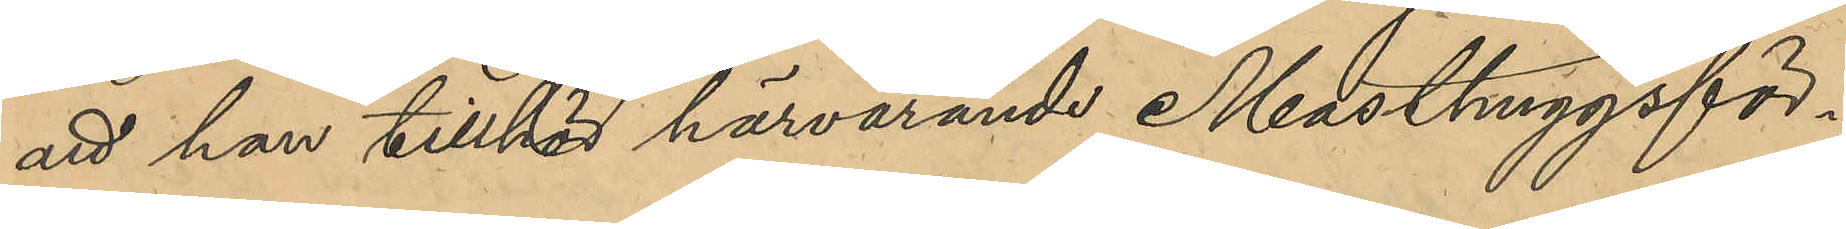att han tillhör härvarande Masthuggsför¬
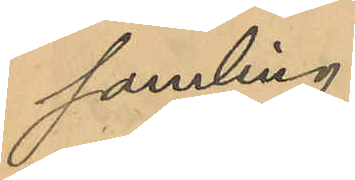samling.
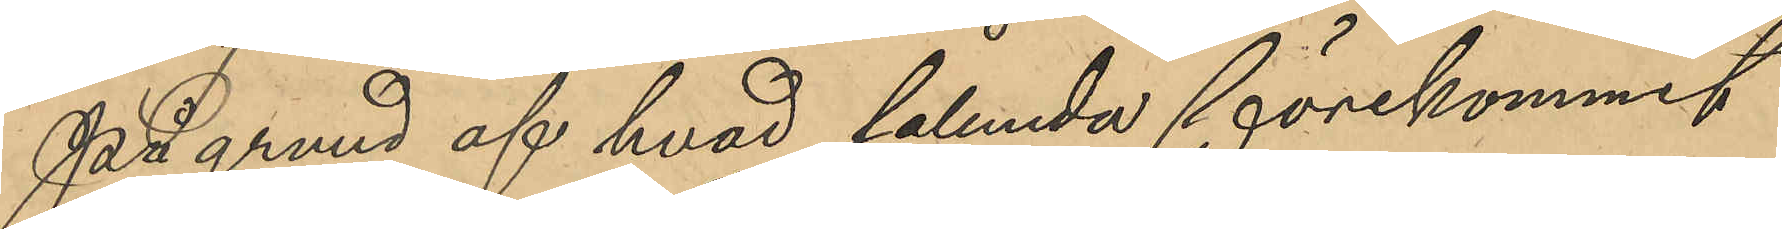På grund af hvad sålunda förekommit
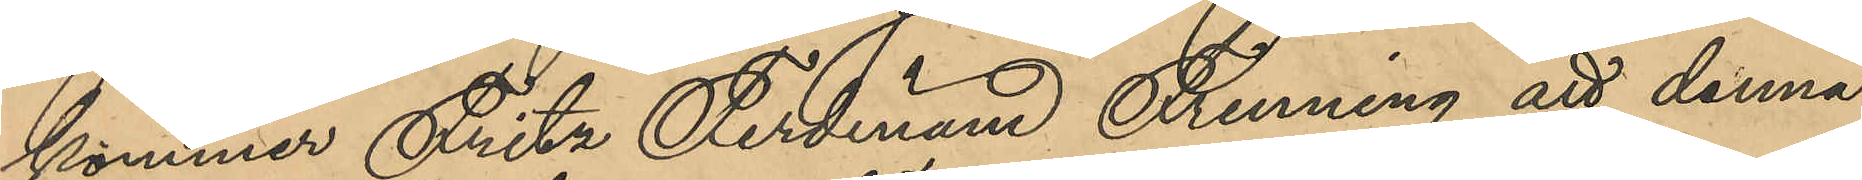kommer Fritz Ferdinand Frenning att denna
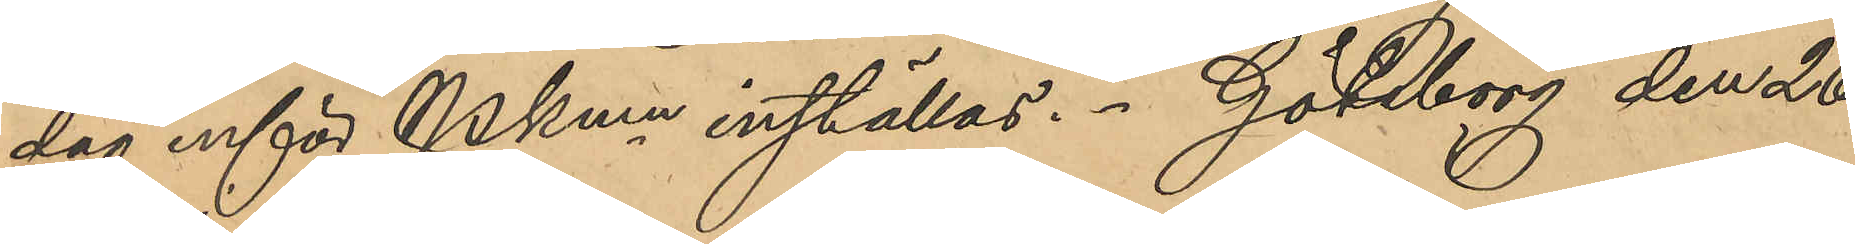dag inför PKmn inställas. Göteborg den 26
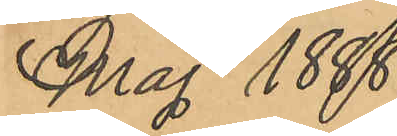Maj 1888.
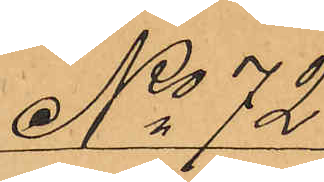No 72
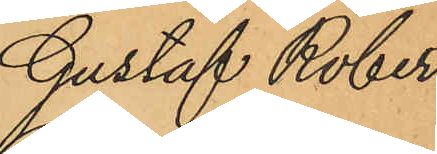Gustaf Robert
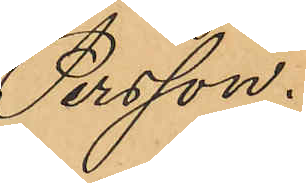Persson.
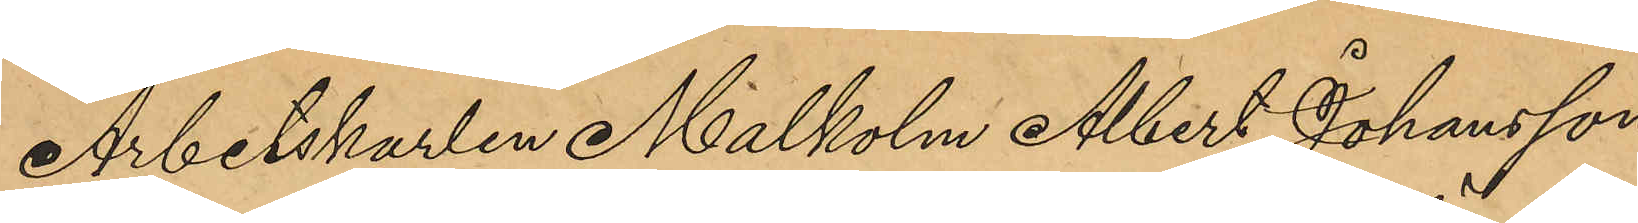Arbetskarlen Malkolm Albert Johansson
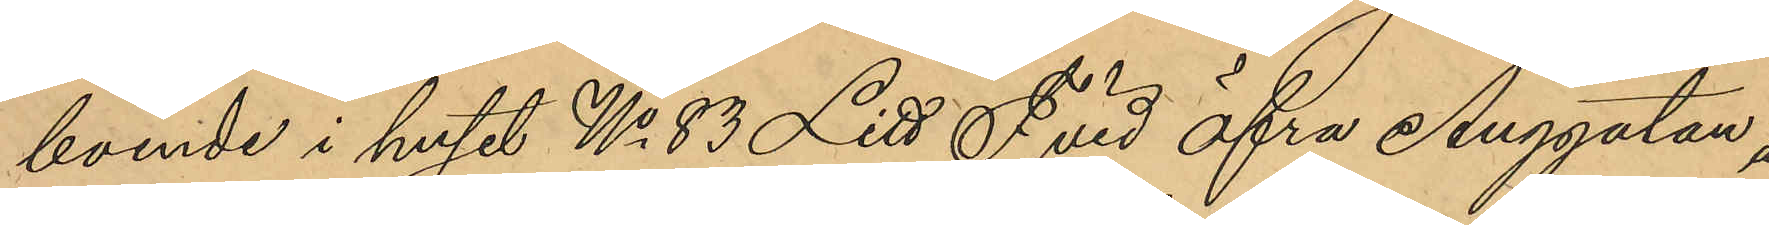boende i huset No 83 Litt F vid Öfra Änggatan å
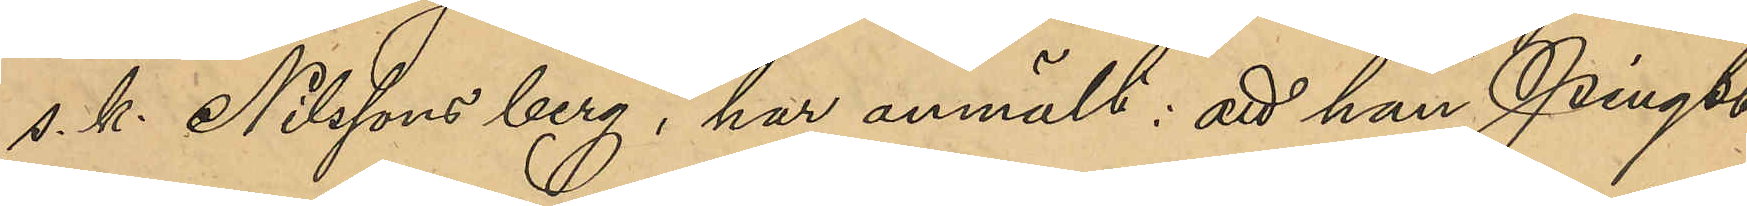s. k. Nilssons berg, har anmält: att han Pingst¬
